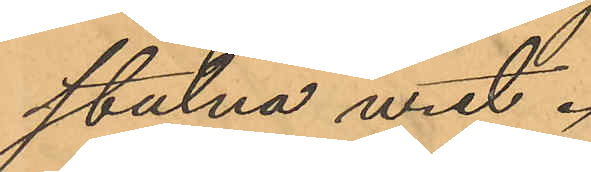stulna uret.
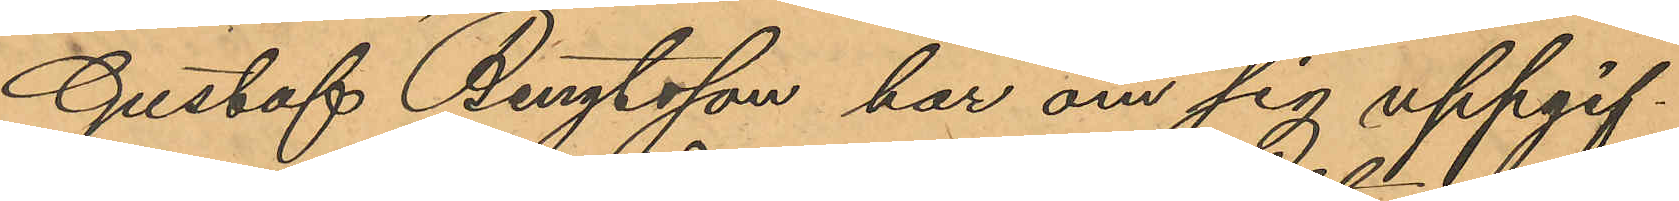Gustaf Bengtsson har om sig uppgif¬
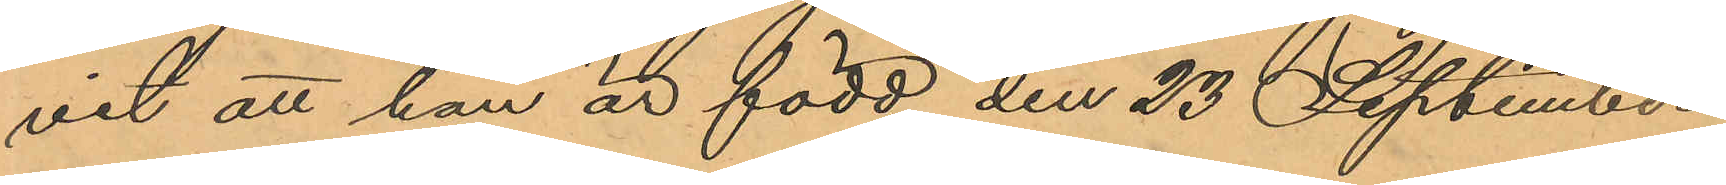vit att han är född den 23 September
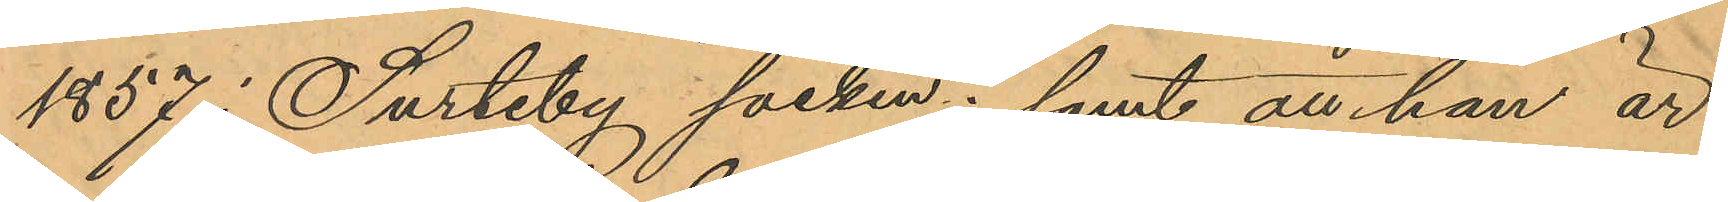1857 i Surteby socken; samt att han är
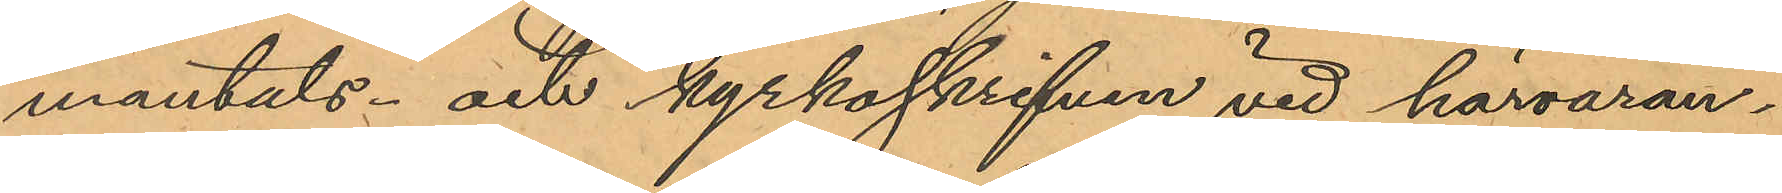mantals- och kyrkoskrifven vid härvaran¬
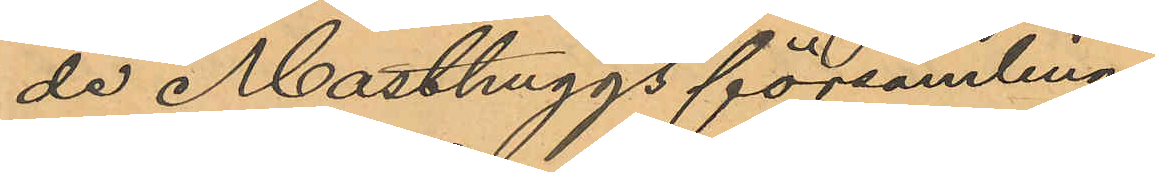de Masthuggs församling.
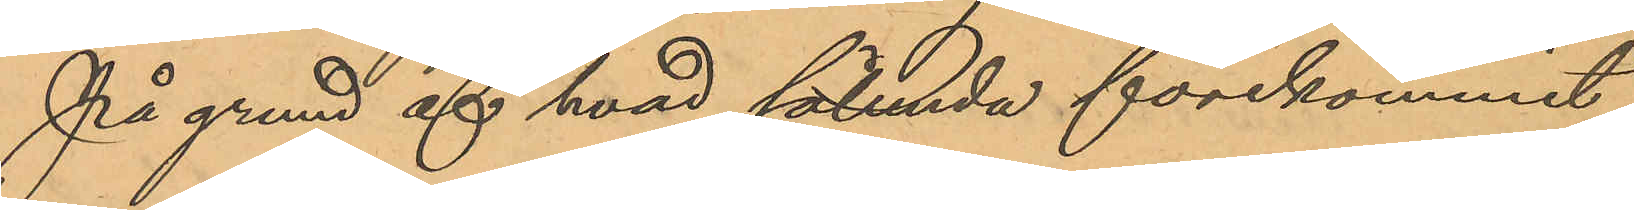På grund af hvad sålunda förekommit
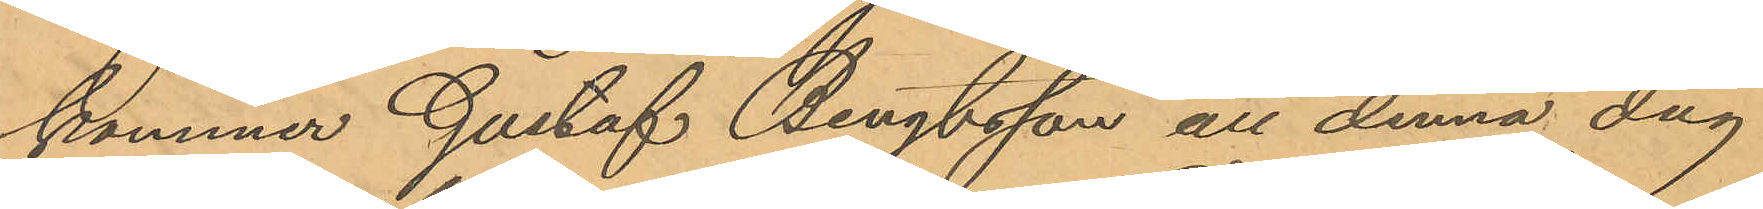kommer Gustaf Bengtsson att denna dag
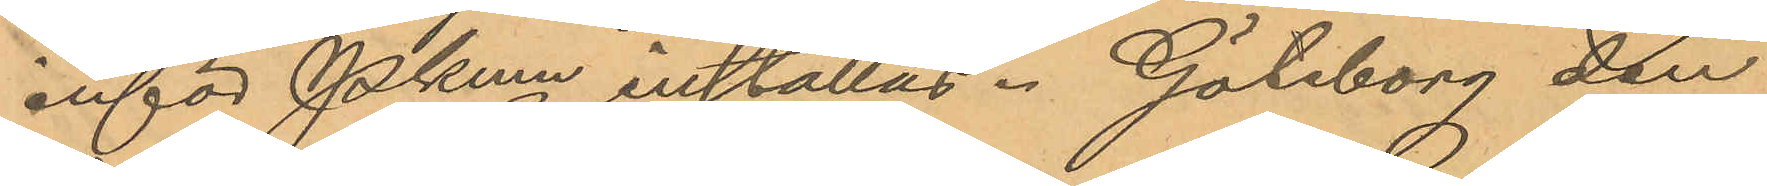inför Pkmn inställas. Göteborg den
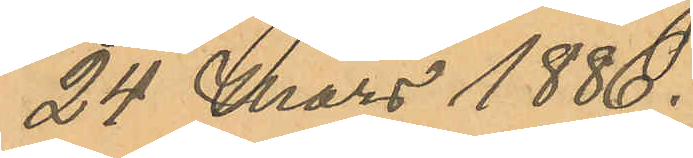24 Mars 1886.
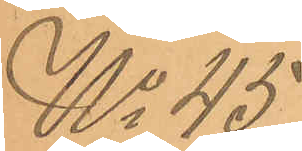No 45
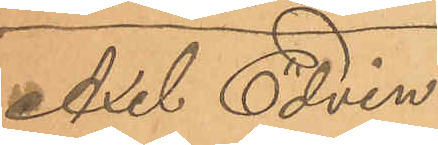Axel Edvin
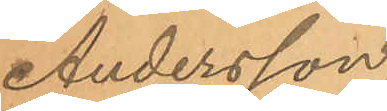Andersson
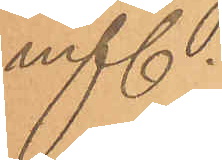m fl.
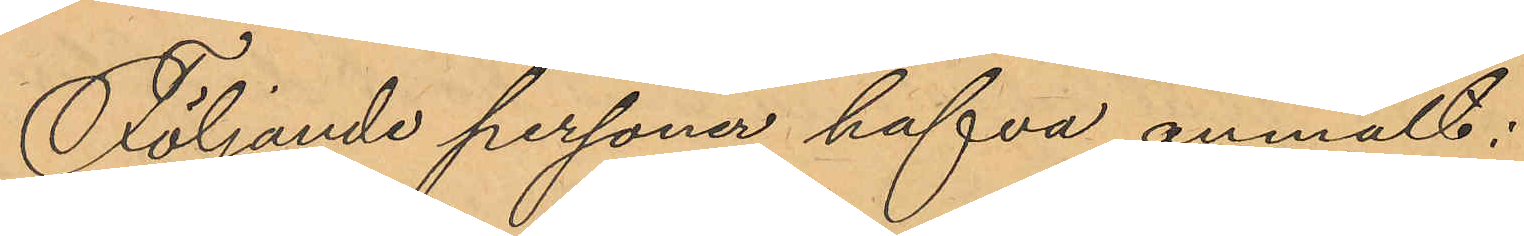Följande personer hafva anmält:
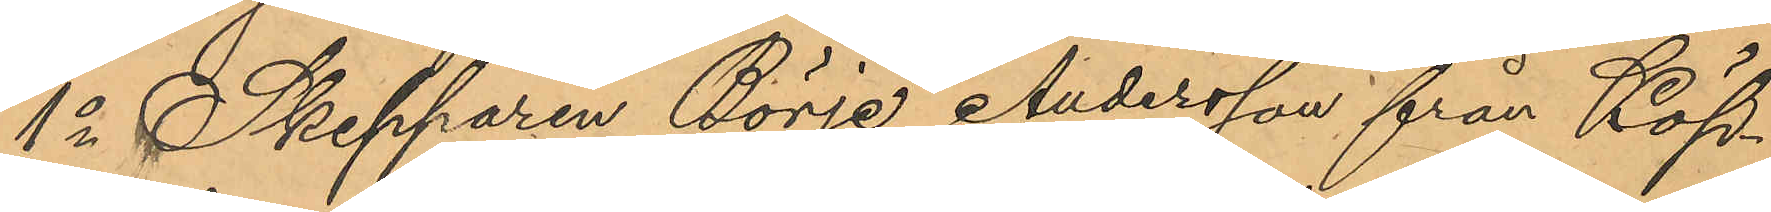1o Skepparen Börje Andersson från Köp¬
